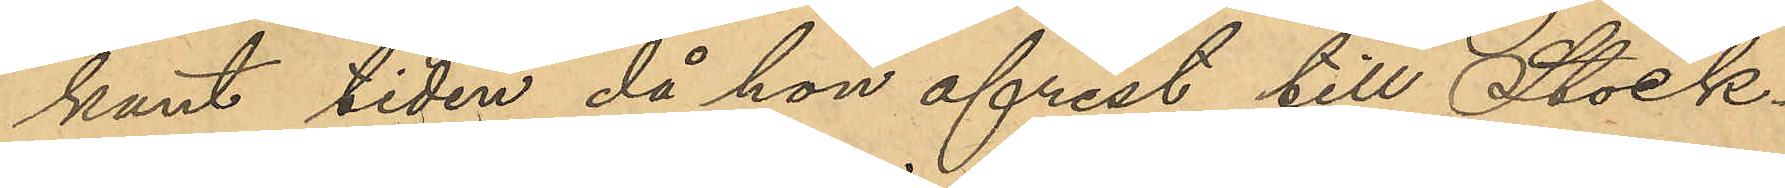kant tiden då hon afrest till Stock¬
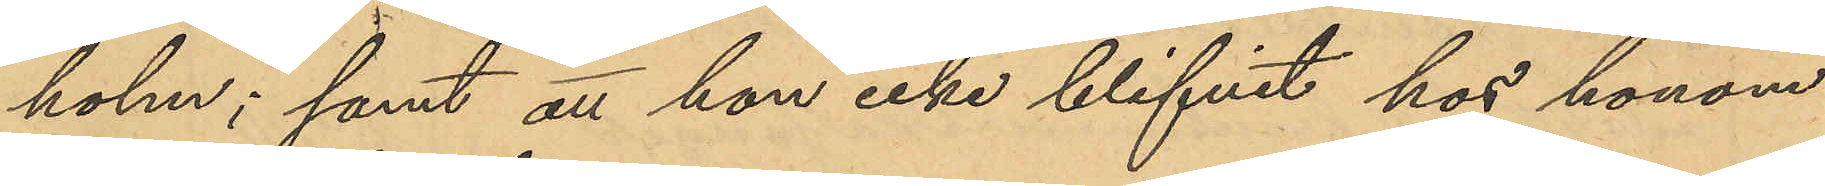holm; samt att hon icke blifvit hos honom
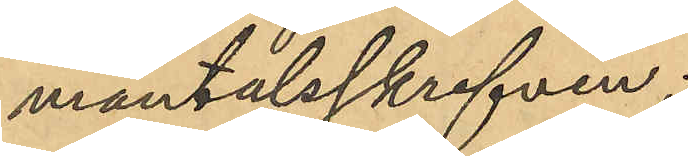mantalsskrifven;
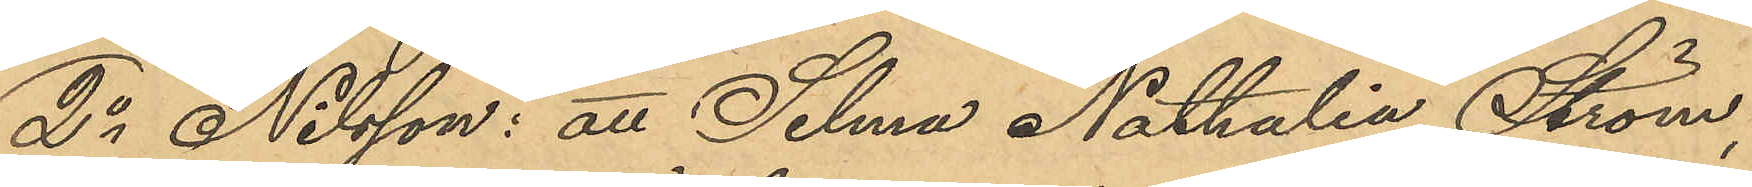2o Nilsson: att Selma Nathalia Ström,
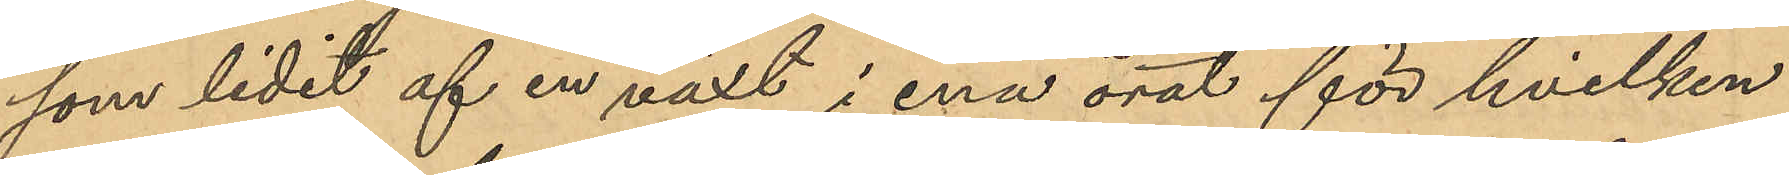som lidit af en växt i ena örat för hvilken
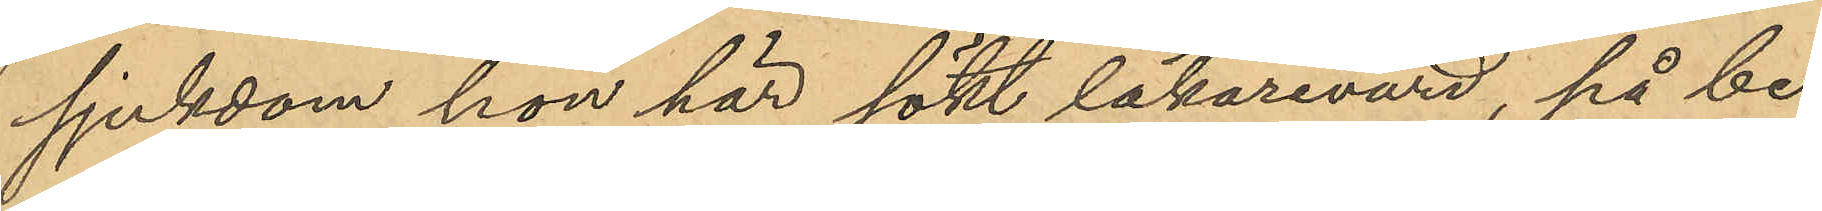sjukdom hon här sökt läkarevård, på be¬
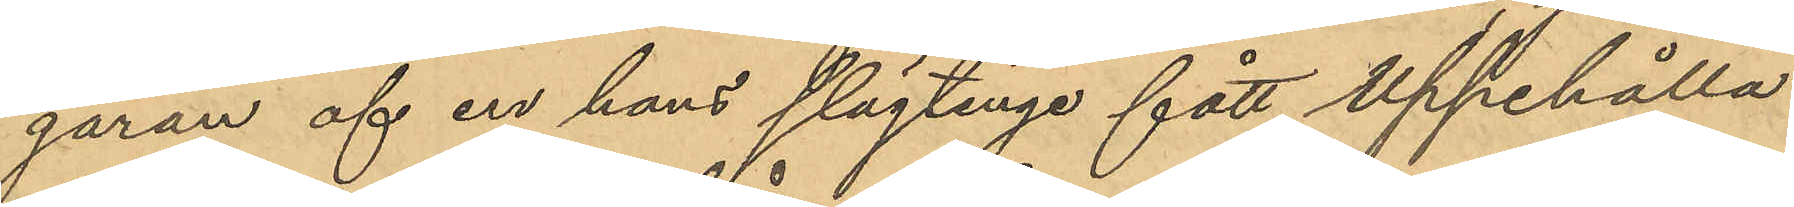gäran af en hans slägtingar fått uppehålla
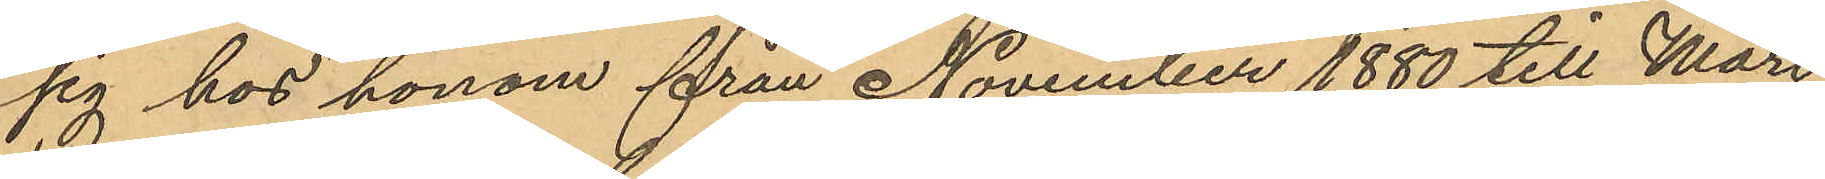sig hos honom från November 1880 till Mars
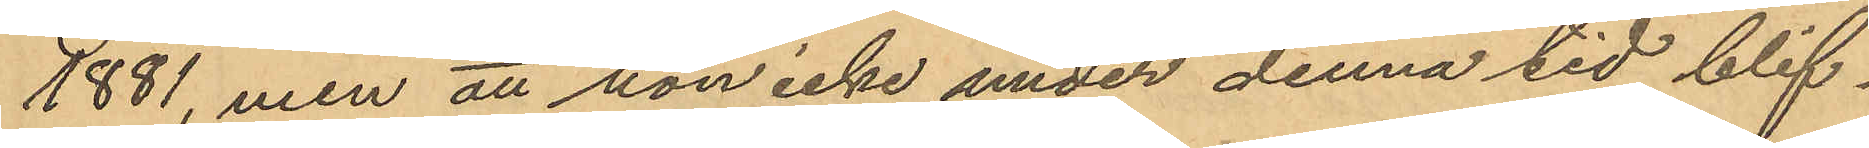1881, men att hon icke under denna tid blif¬
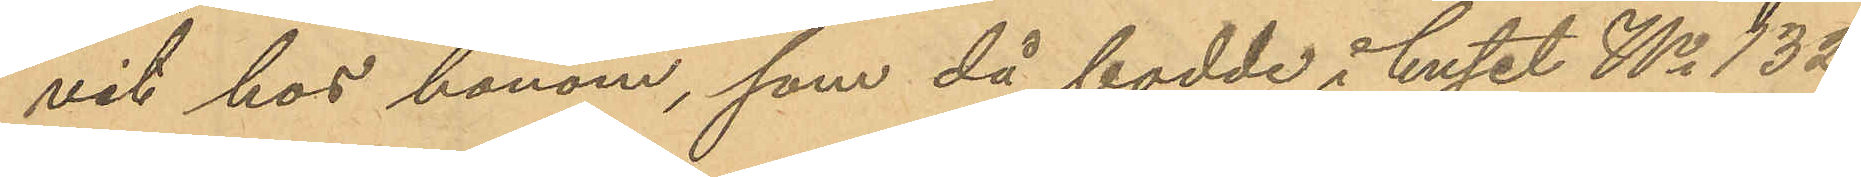vit hos honom, som då bodde i huset No 132
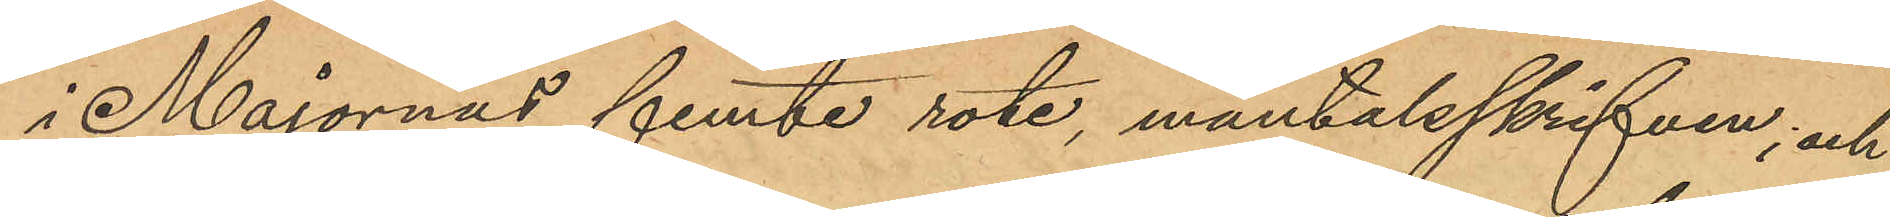i Majornas femte rote, mantalsskrifven; och
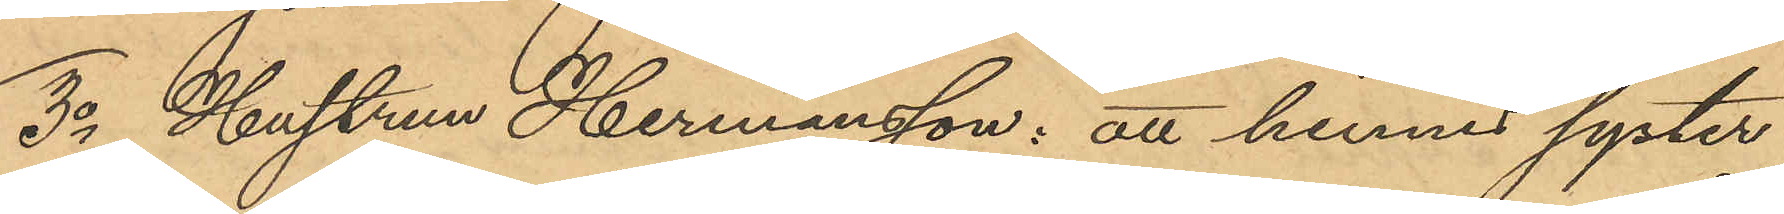3o Hustrun Hermansson: att hennes syster
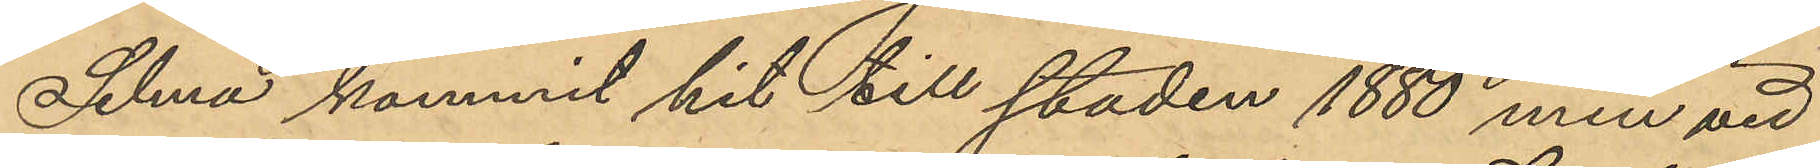Selma kommit hit till staden 1880, men vid
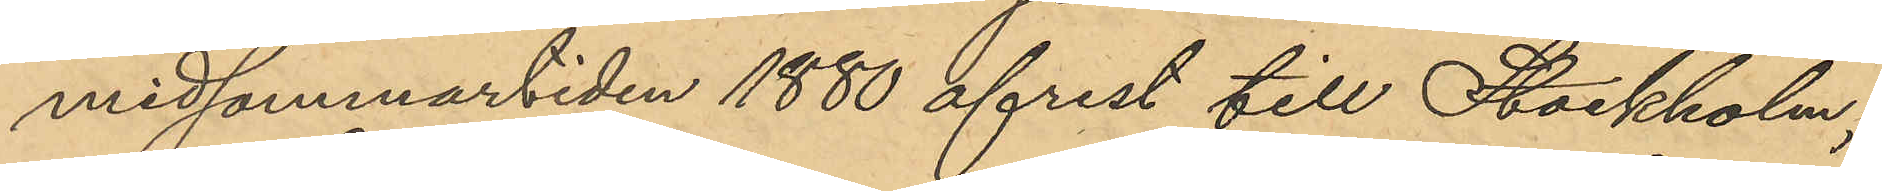midsommartiden 1880 afrest till Stockholm;
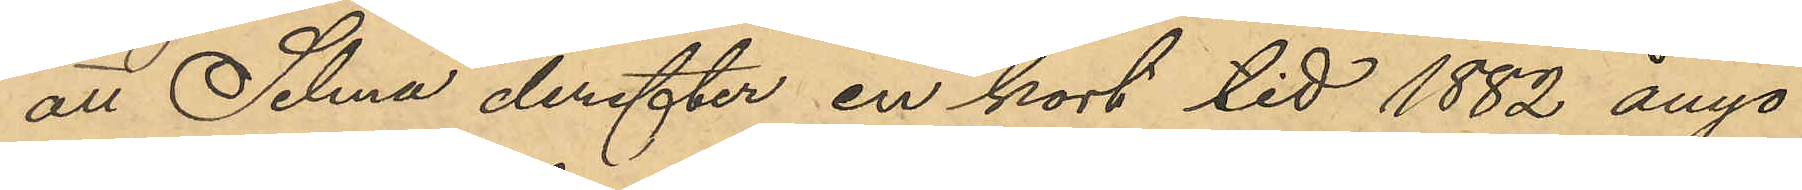att Selma derefter en kort tid 1882 ånyo
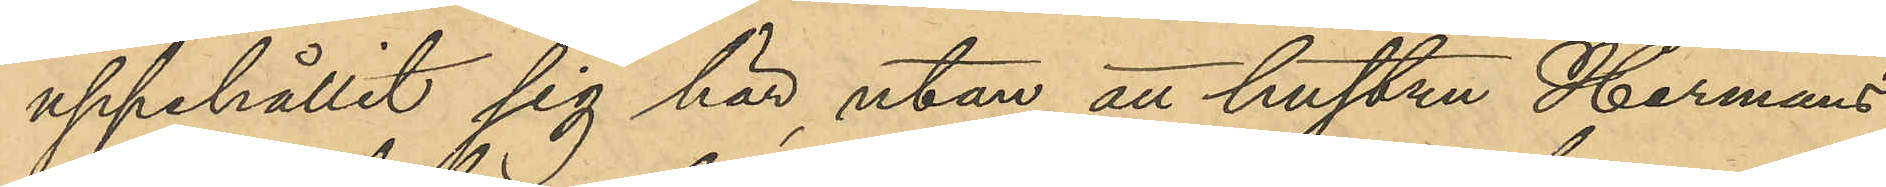uppehållit sig här, utan att hustru Hermans¬
